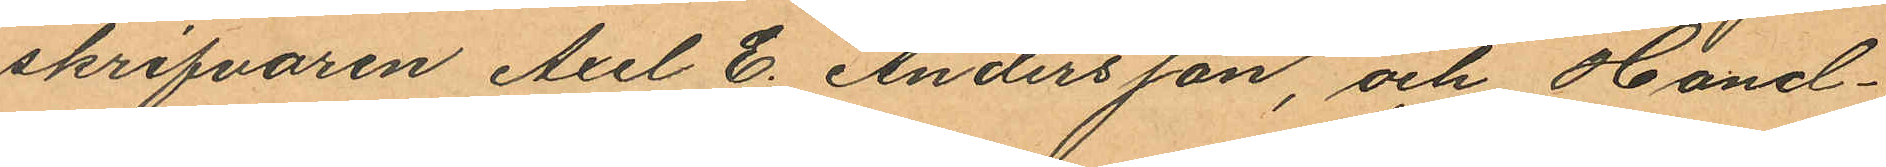skrifvaren Axel E. Andersson, och Hand¬
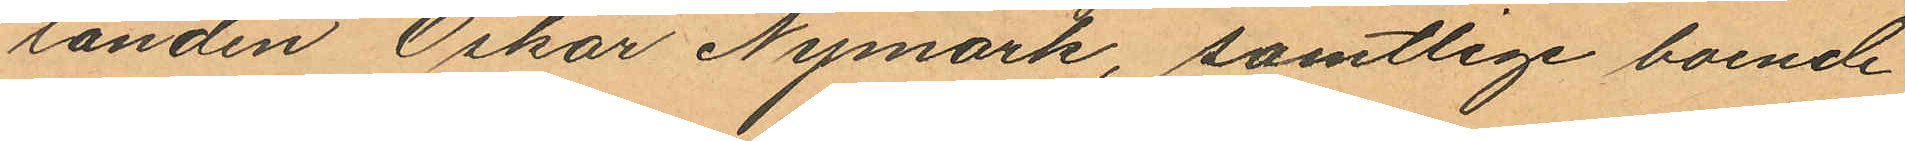landen Oskar Nymark, samtlige boende
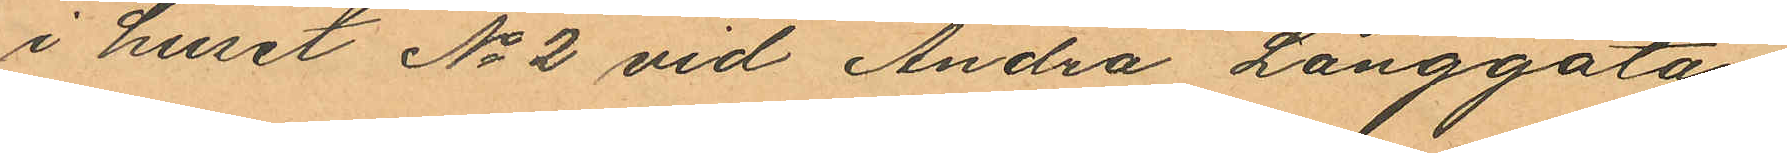i huset No 2 vid Andra Långgatan,
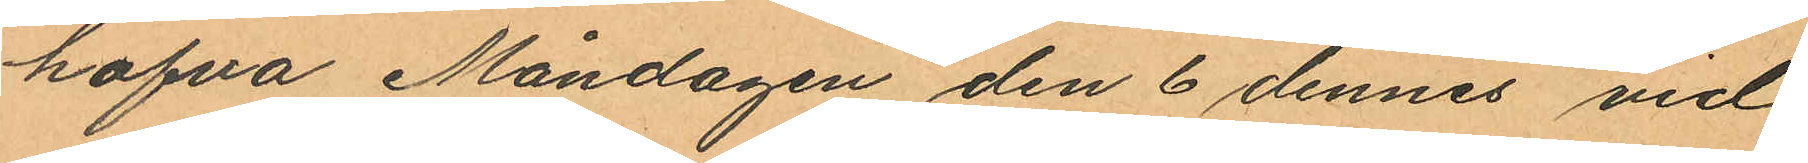hafva Måndagen den 6 dennes vid
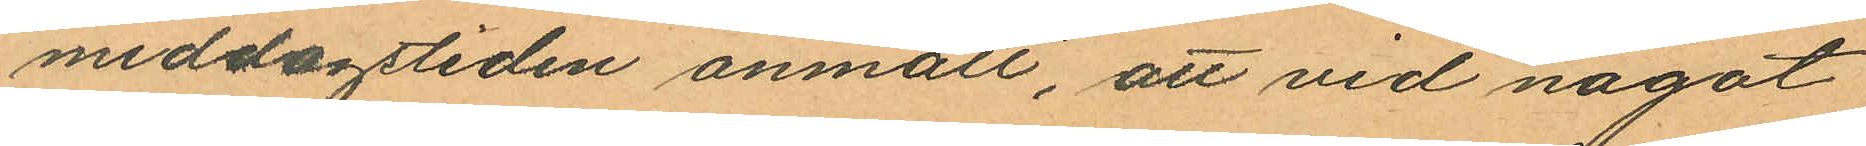middagstiden anmält, att vid något
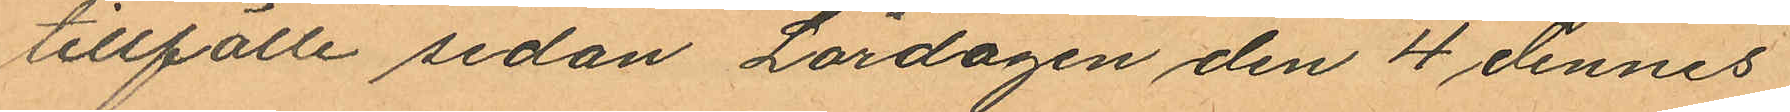tillfälle sedan Lördagen den 4 dennes
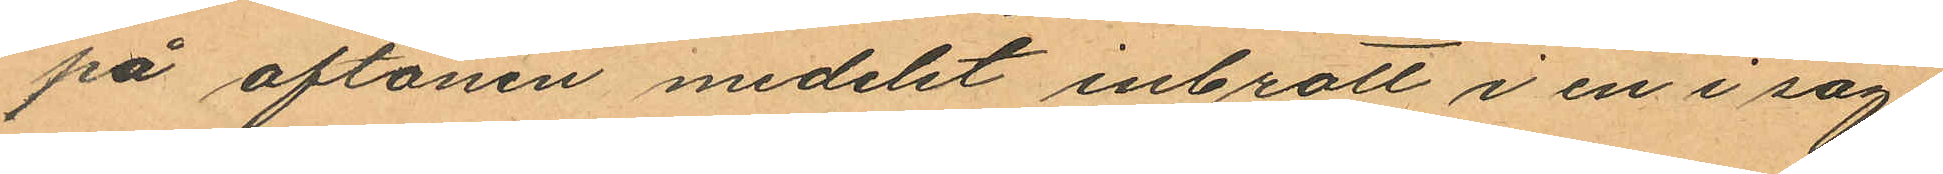på aftonen medelst inbrott i en i sag¬
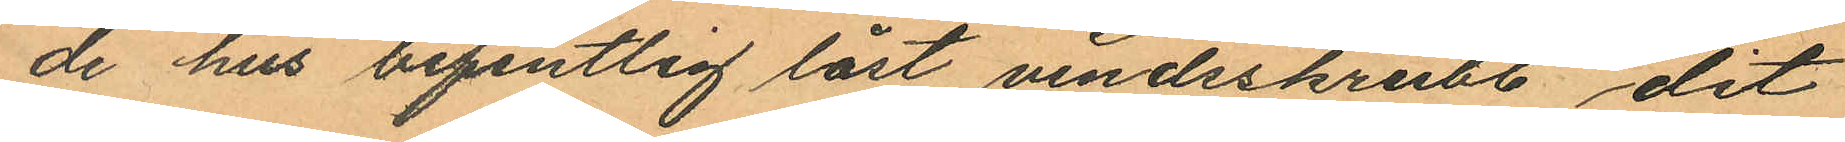de hus befintlig låst vindsskrubb, dit
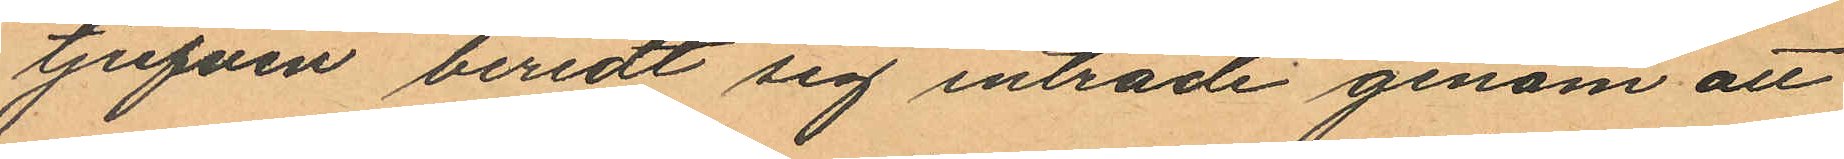tjufven beredt sig inträde genom att
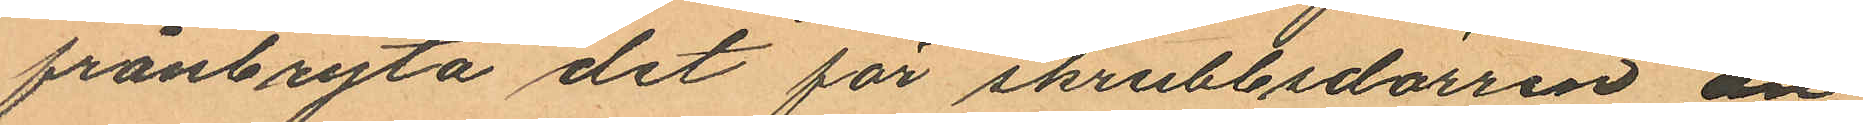frånbryta det för skrubbsdörren an¬
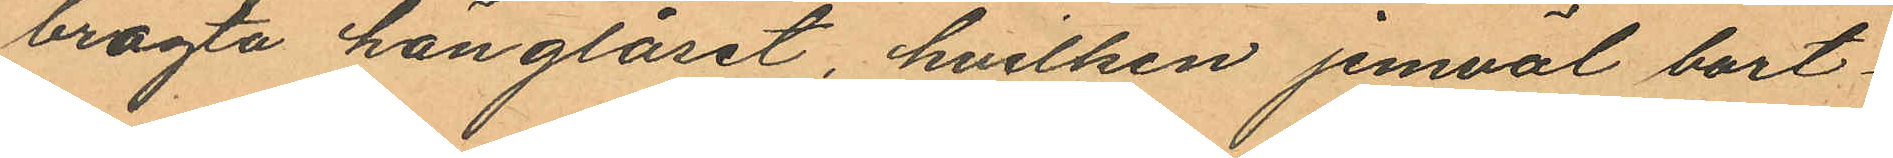bragta hänglåset, hvilken jemväl bort¬
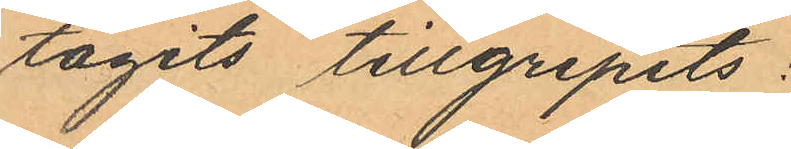tagits tillgripits:
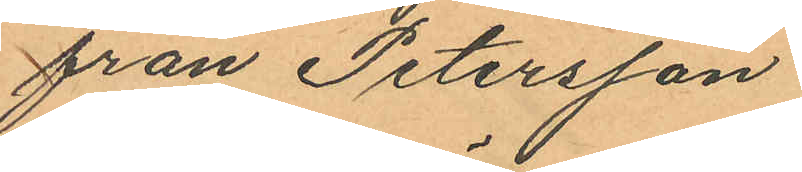från Petersson
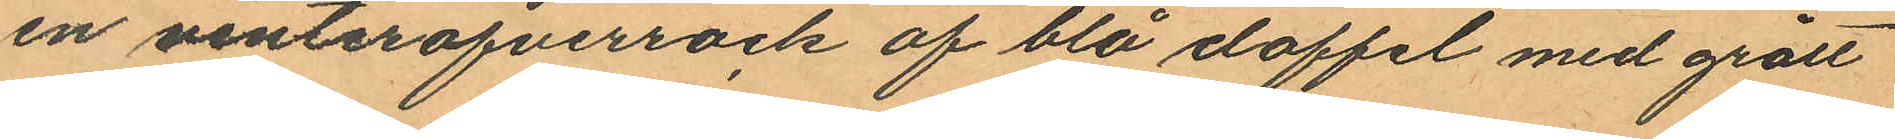en vinteröfverrock af blå doffel med grått
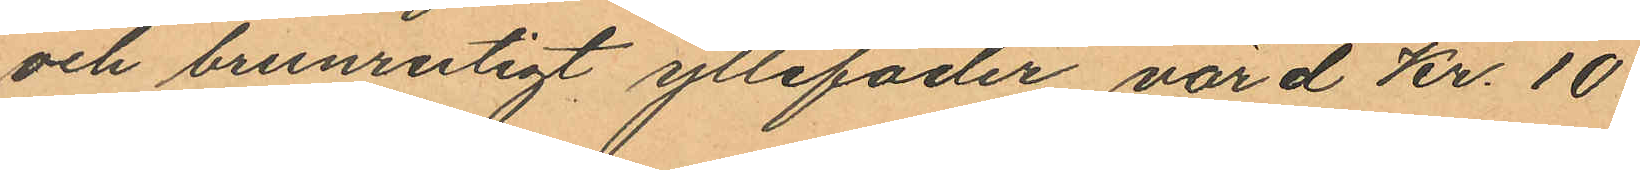och brunrutigt yllefoder värd Kr. 10
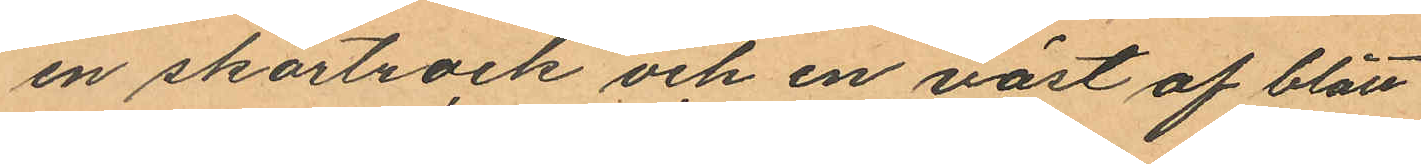en skörtrock och en väst af blått
